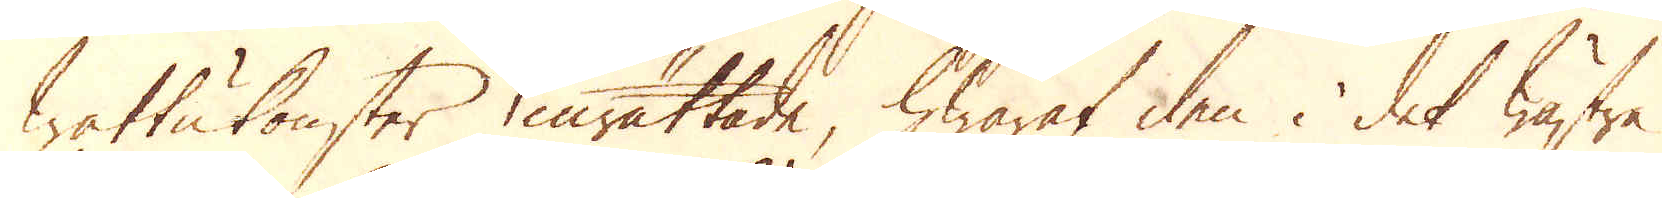wattukonster inrättade, hwaraf den i det wästra
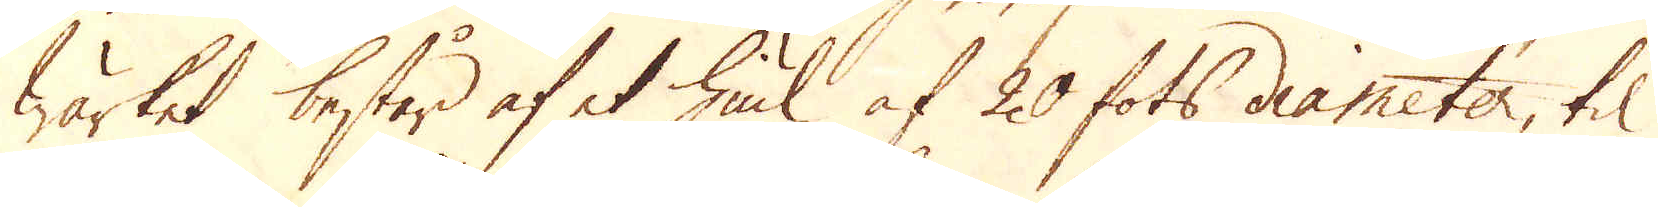Wärket består af et hiul af 20 fots diameter, til
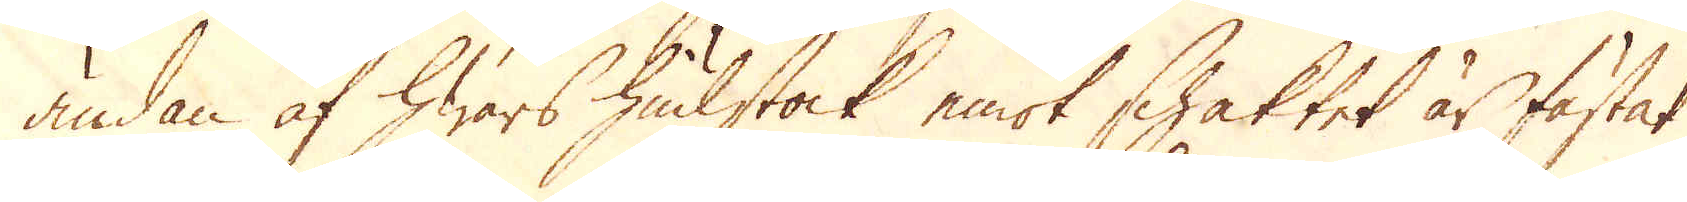ändan af hwars hiulstock emot schaktet är fästat
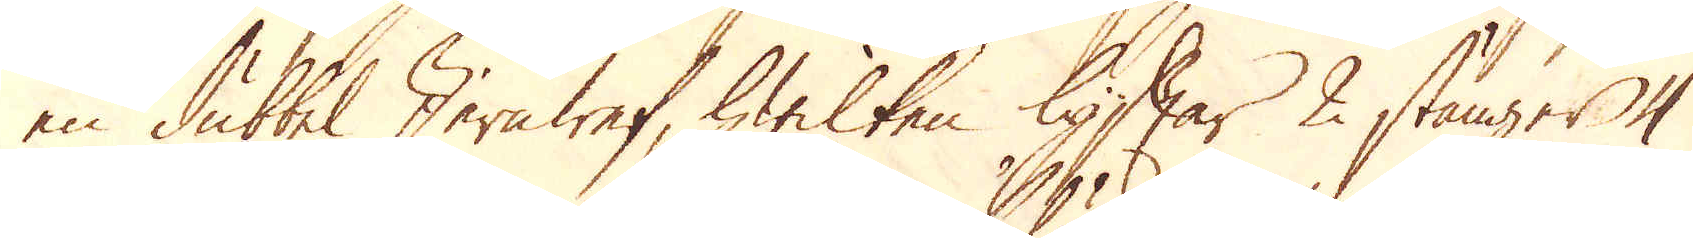en dubbel Jernwef, hwilken lyftar 2 stänger 4
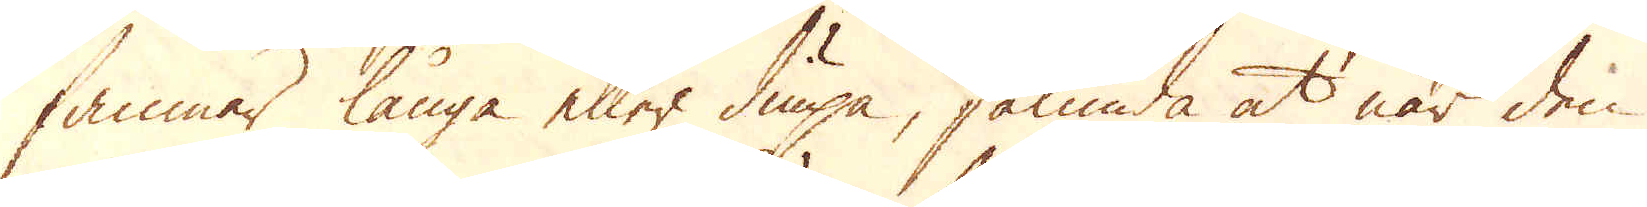famnar långa eller diupa, sålunda at när den
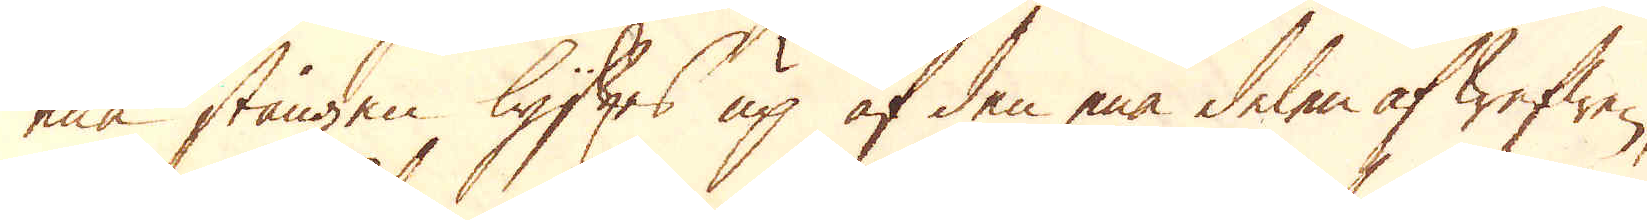ena stången lyftes up af den ena delen af wefwen,
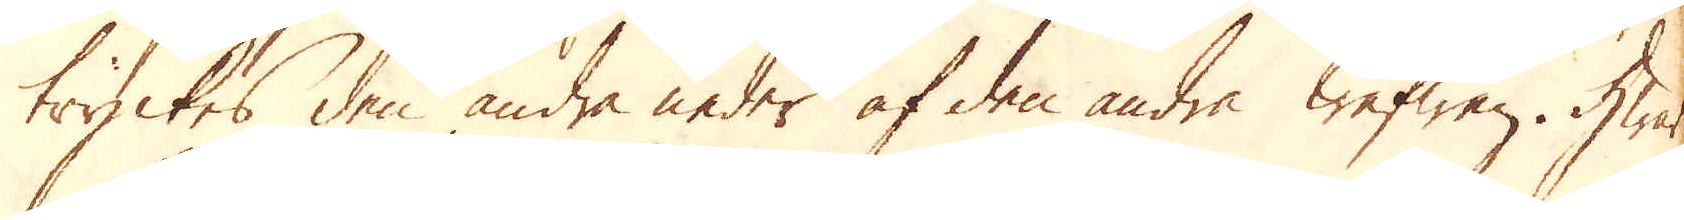tryckes den andra neder af den andre wefwen. Hwar
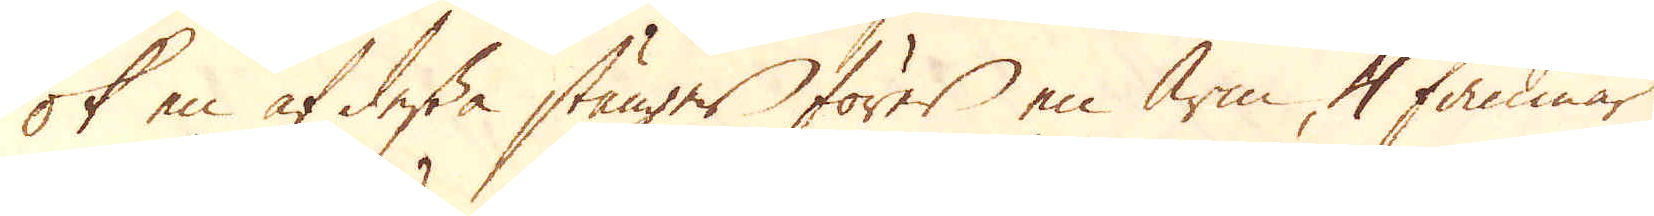ok en af dessa stänger förer en arm 4 famnar
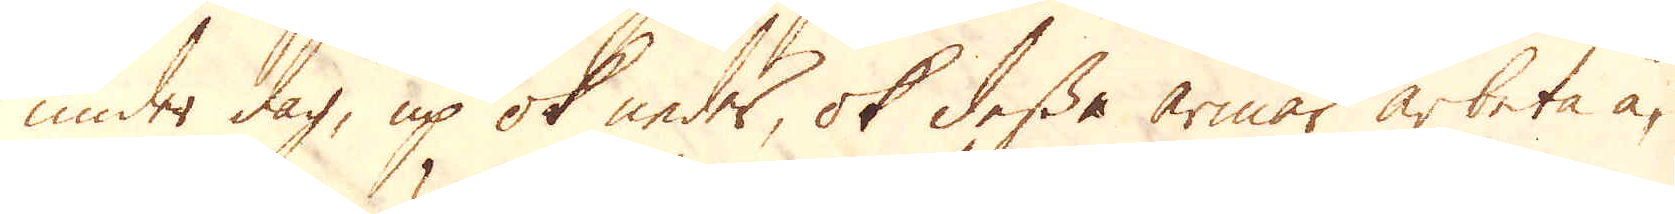under dag, up ok neder, ok desse armar arbeta å-
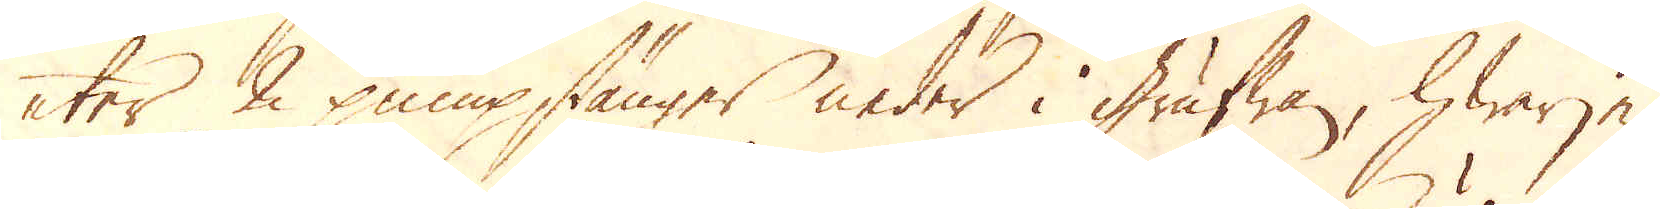ter 2 pumpstänger neder i grufwan, hwarje
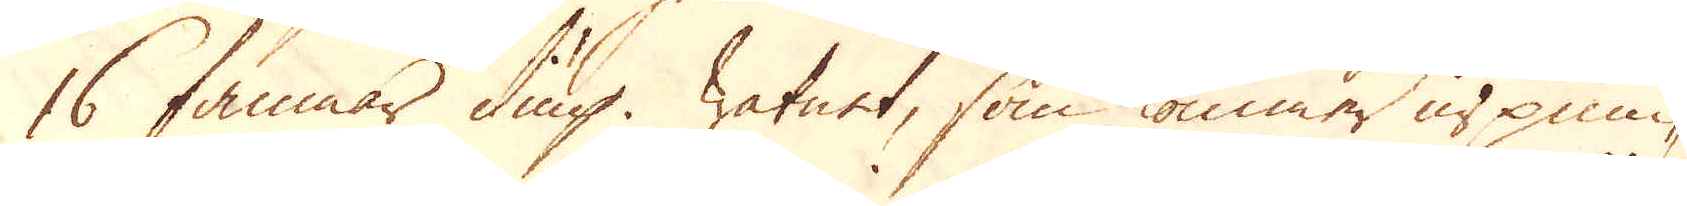16 famnar diup. Watnet, som kommer ur pum-
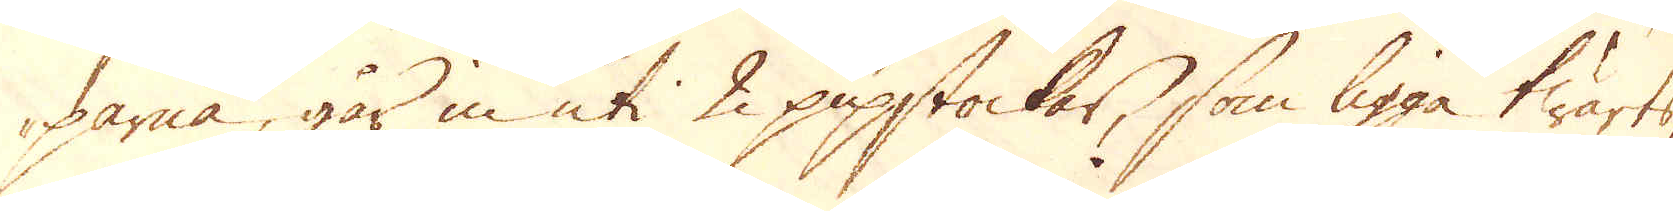parna, går in uti 2 pipstockar, som ligga twärts
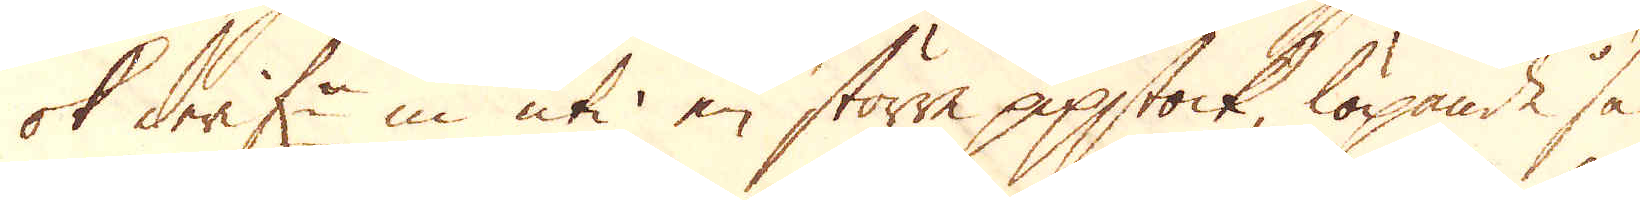ok derifr in uti en större pipstock, löpande så
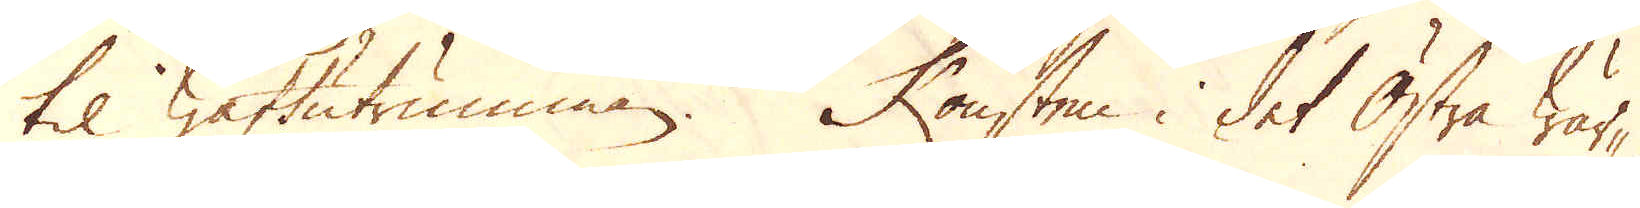til wattutrumman. Konsten i det Östra wär-
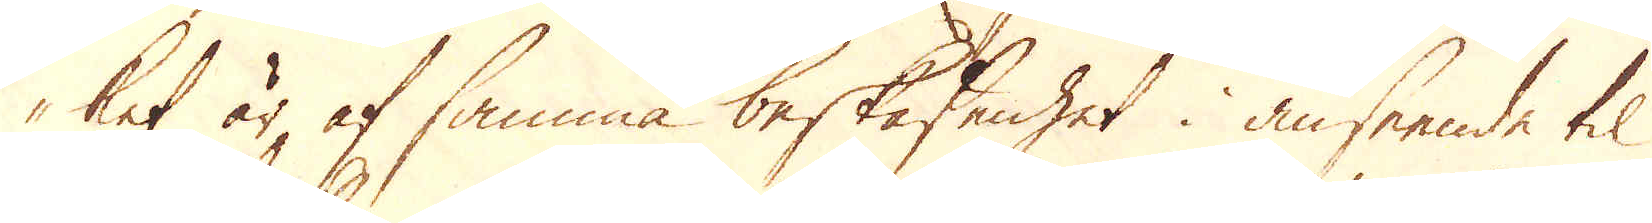ket är af samma beskaffenhet i anseende til
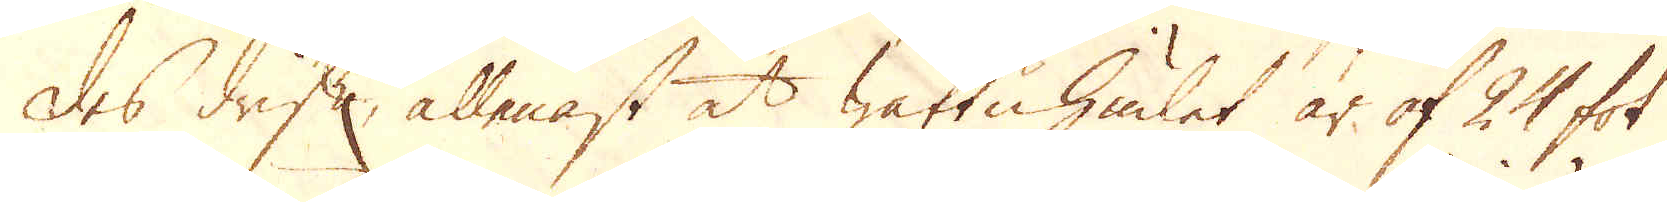des drift, allenast at wattuhiulet är af 24 fot
